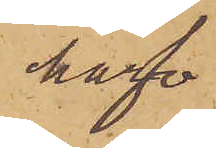hafva
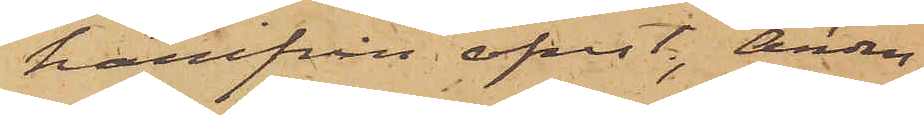härifrån afrest, Anders¬
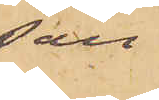son
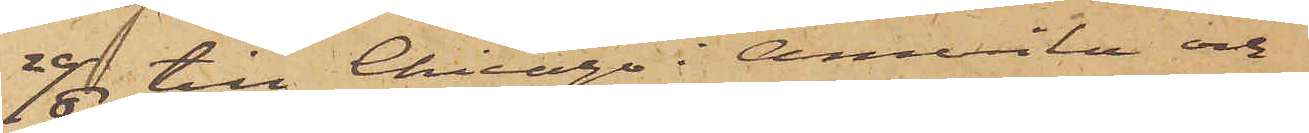20/6 till Chicago i Amerika och
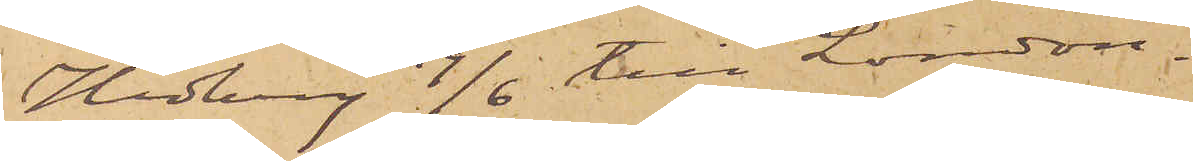Hedberg 19/6 till London.
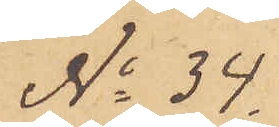No 34.
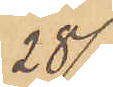28/6
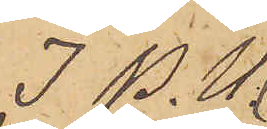I P. U
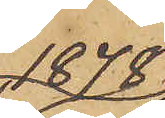1878
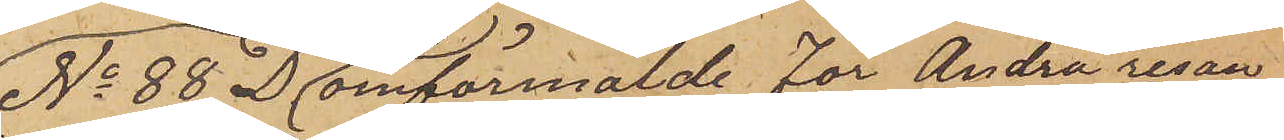No 88 D omförmälde för Andra resan
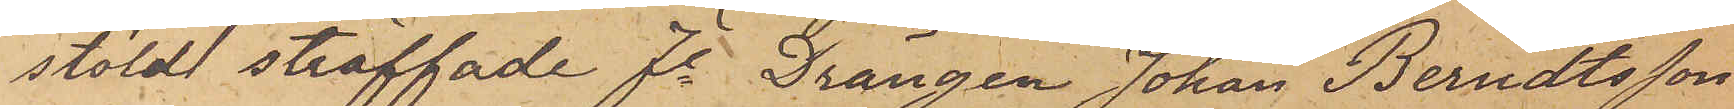stöld straffade fe Drängen Johan Berndtsson
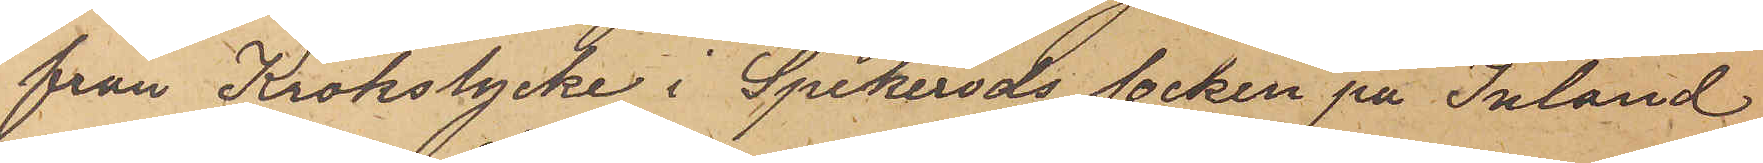från Krokslycke i Spekeröds socken på Inland
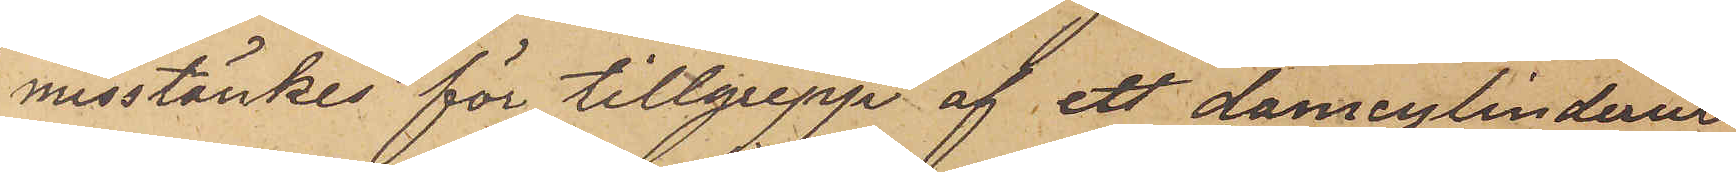misstänkes för tillgrepp af ett damcylinderur
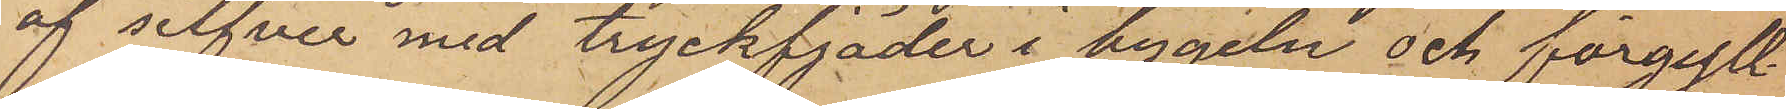af silfver med tryckfjäder i bygeln och förgyll¬
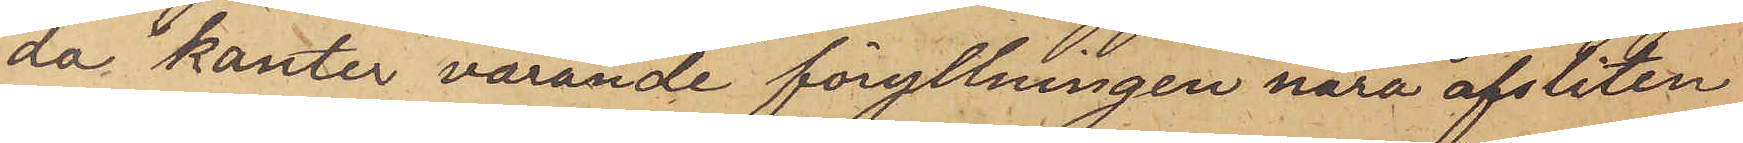da kanter varande förgyllningen nära afsliten
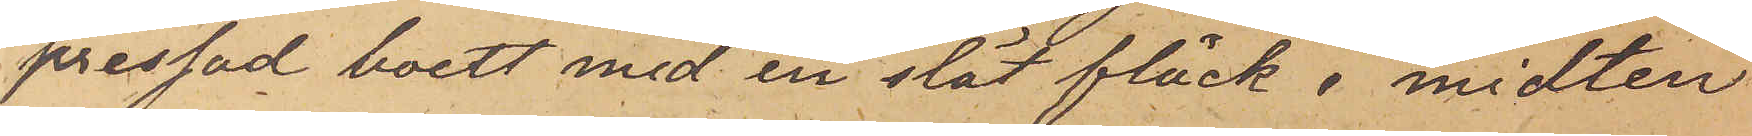pressad boett med en slät fläck i midten
